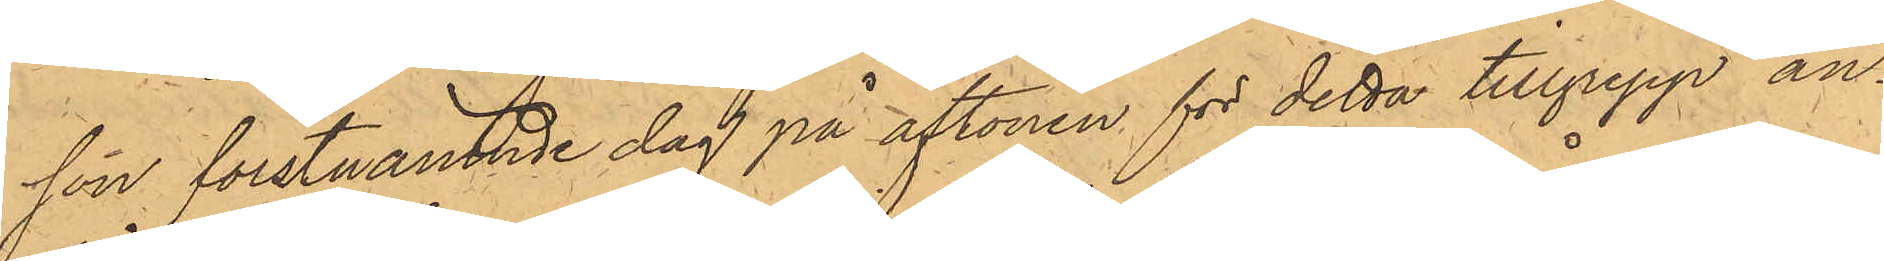son förstnämnde dag på aftonen för detta tillgrepp an¬
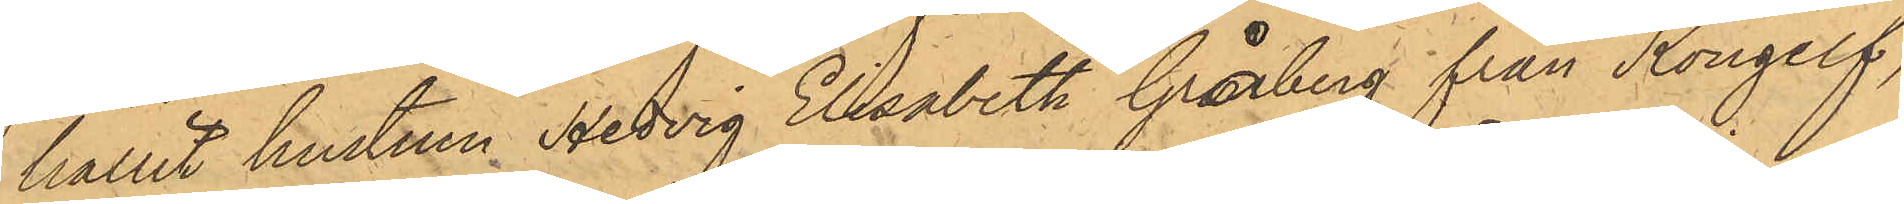hållit hustrun Hedvig Elisabeth Gråberg från Kongelf,
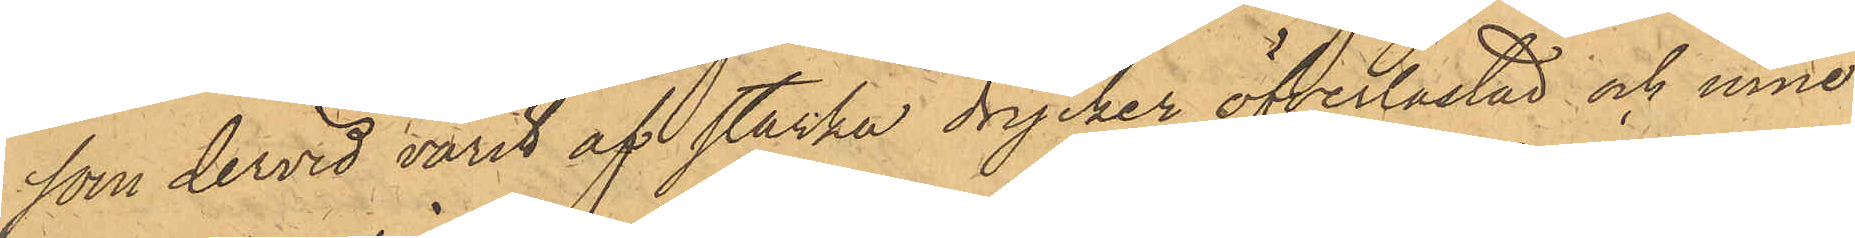som dervid varit af starka drycker öfverlastad och inne¬
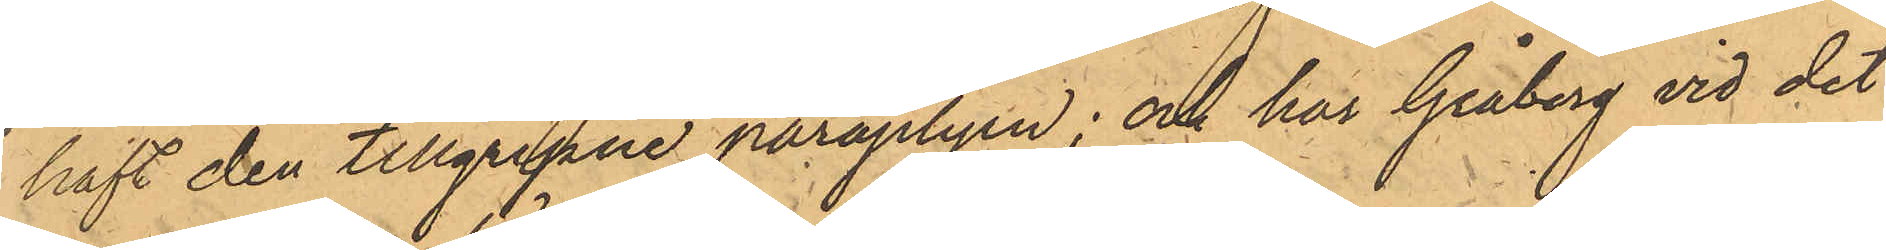haft den tillgripne paraplyen; och har Gråberg vid det
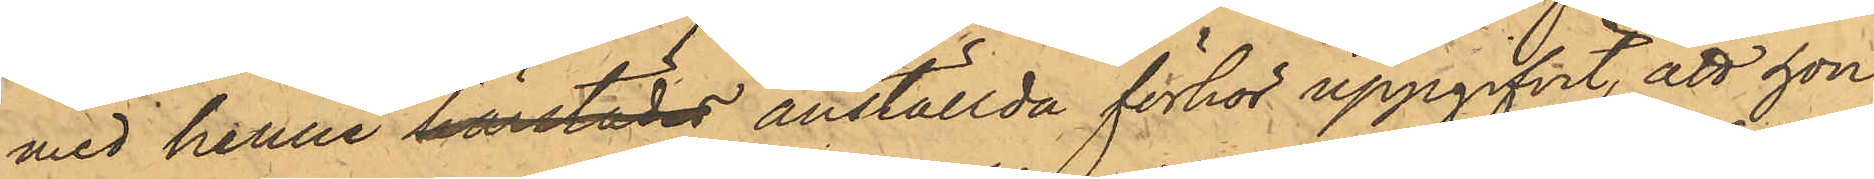med henne härstädes anställda förhör uppgifvit, att hon
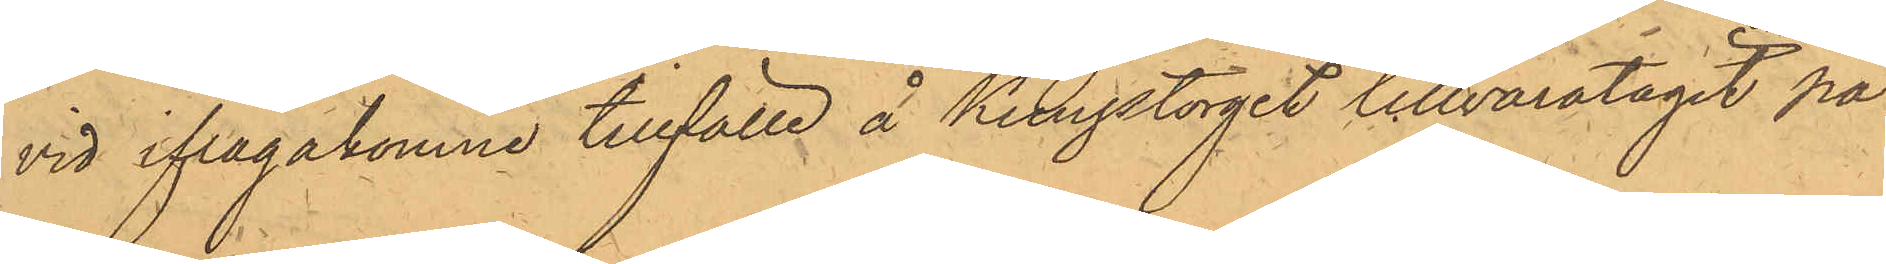vid ifrågakomne tillfälle å Kungstorget tillvaratagit pa¬
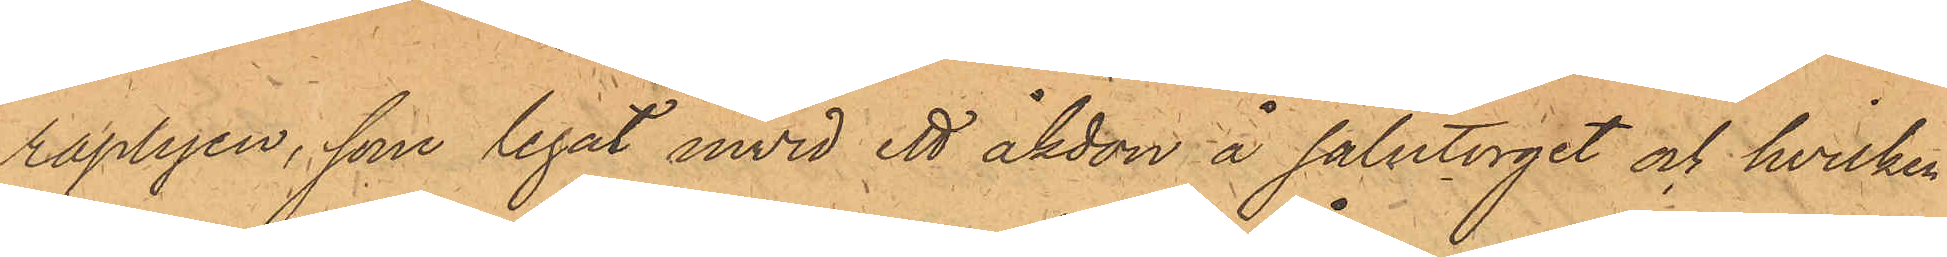raplyen, som legat invid ett åkdon å salutorget och hvilken
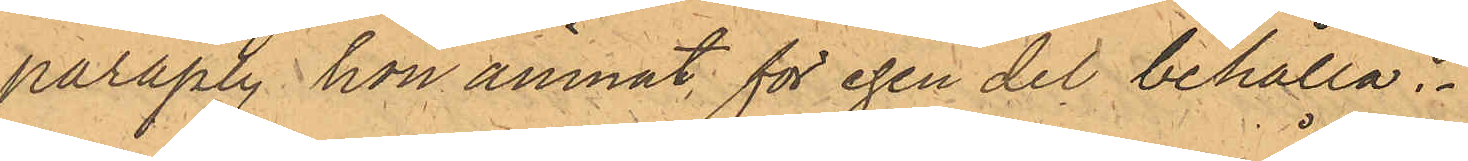paraply hon ämnat för egen del behålla.
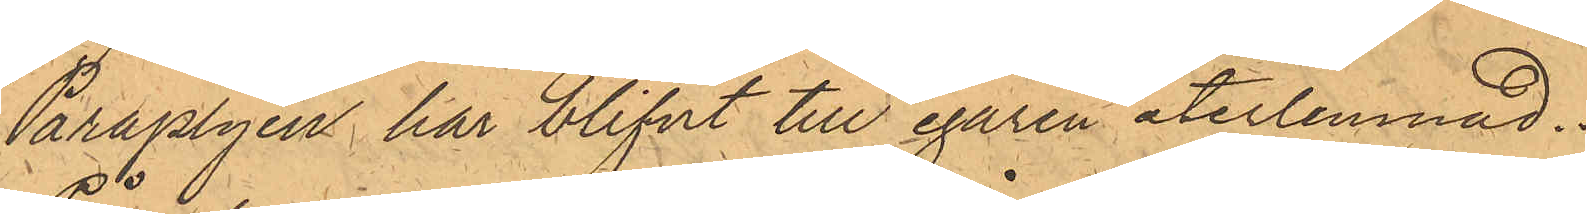Paraplyen har blifvit till egaren återlemnad.
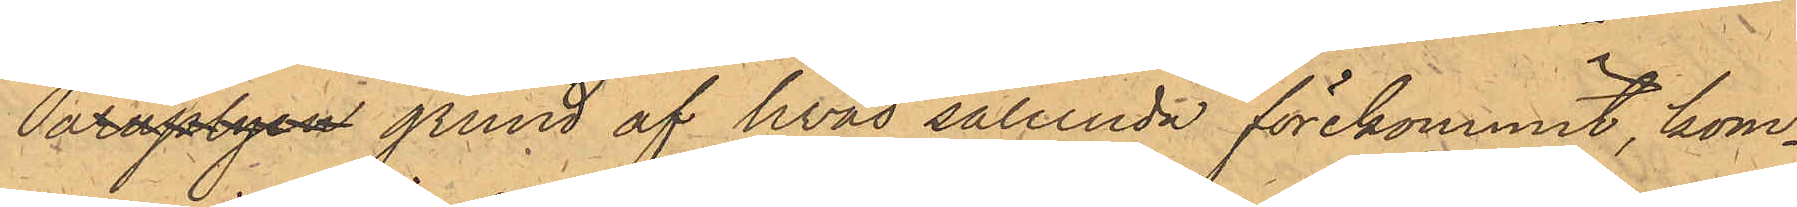Påraplyen grund af hvad sålunda förekommit, kom¬
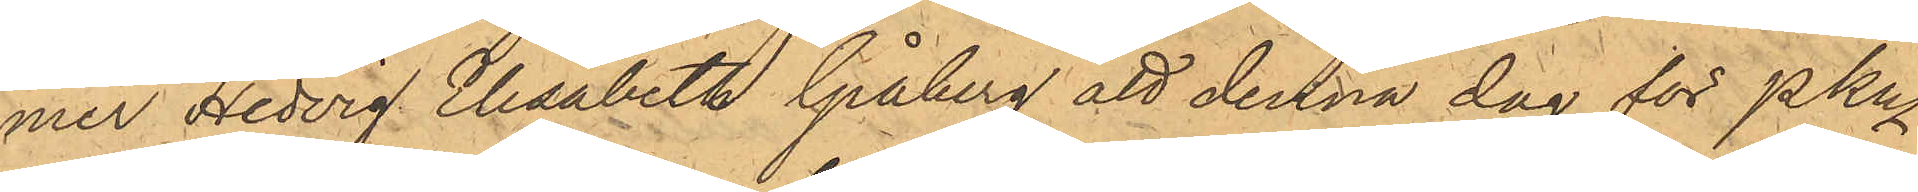mer Hedvig Elisabeth Gråberg att denna dag för PKn
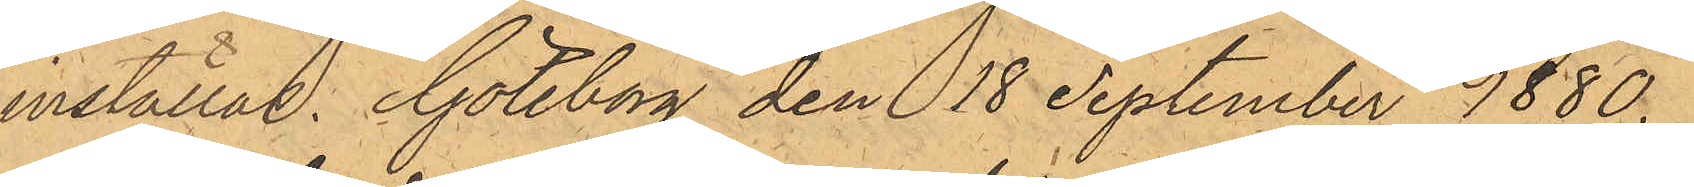inställas. Göteborg den 18 September 1880.
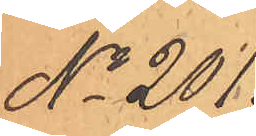No 201.
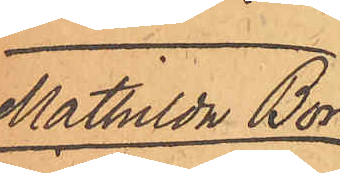Mathilda Bör¬
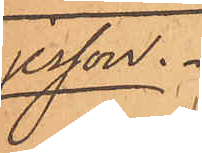jesson.
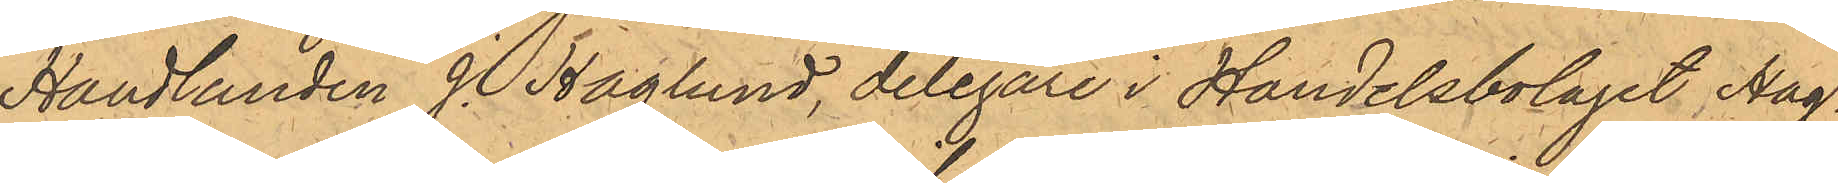Handlanden J. Haglund, delegare i Handelsbolaget Hag¬
